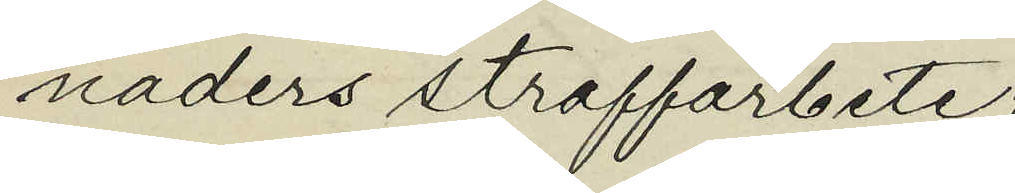naders straffarbete;
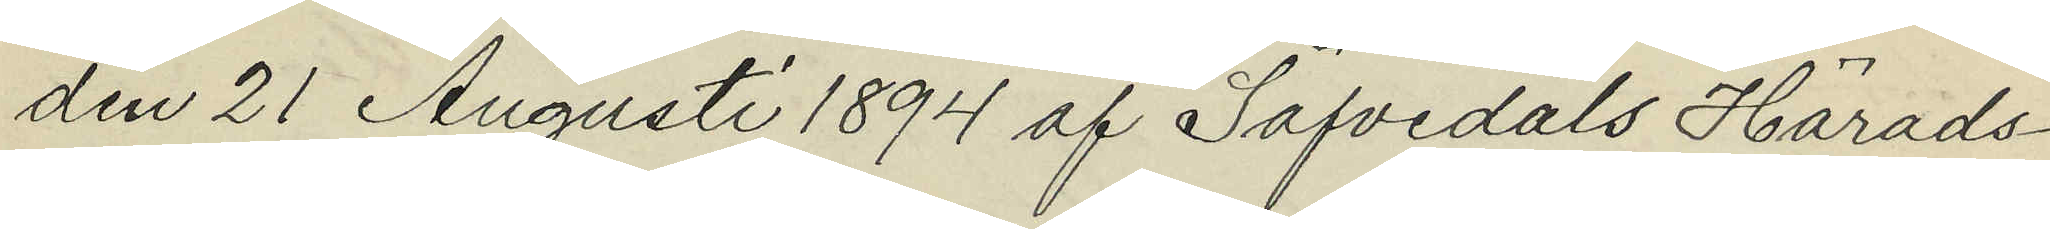den 21 Augusti 1894 af Säfvedals Härads¬
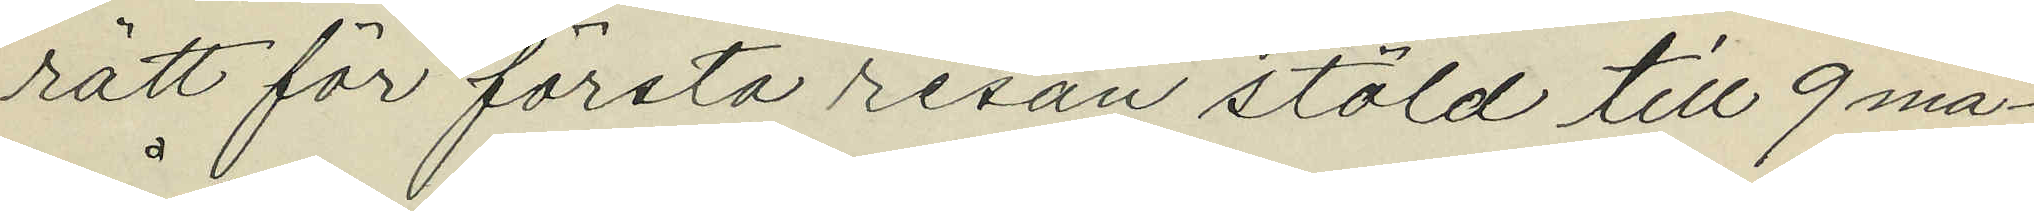rätt för första resan stöld till 9 må¬
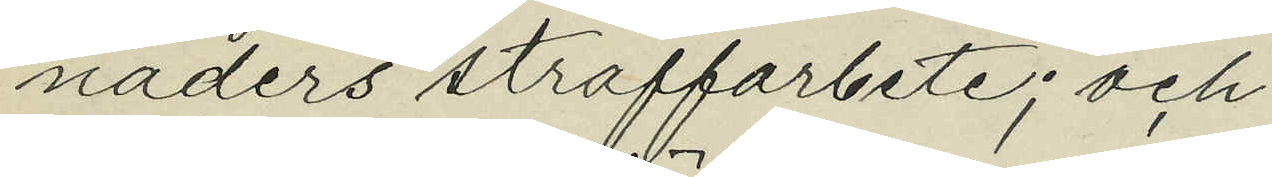nåders straffarbete; och
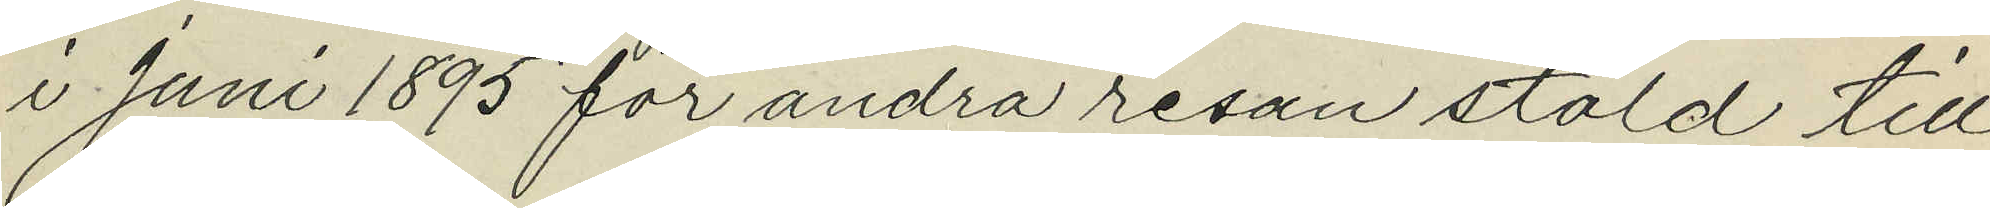i Juni 1895 för andra resan stöld till
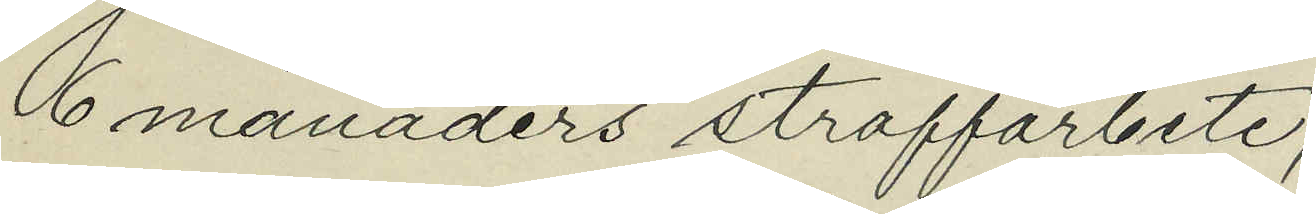6 månaders straffarbete;
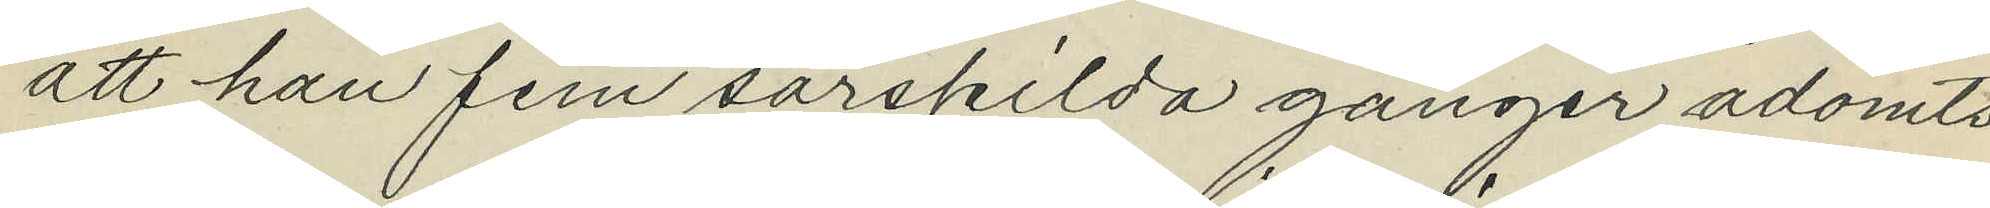att han fem särskilda gånger ådömts
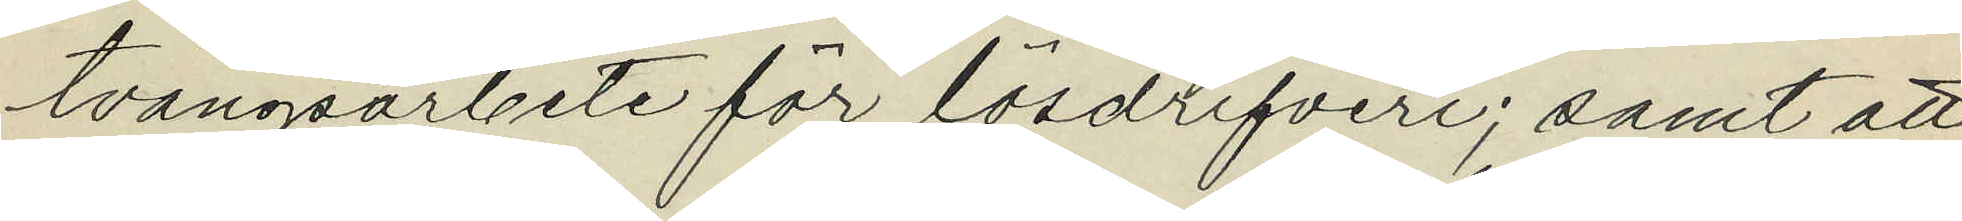tvångsarbete för lösdrifveri; samt att
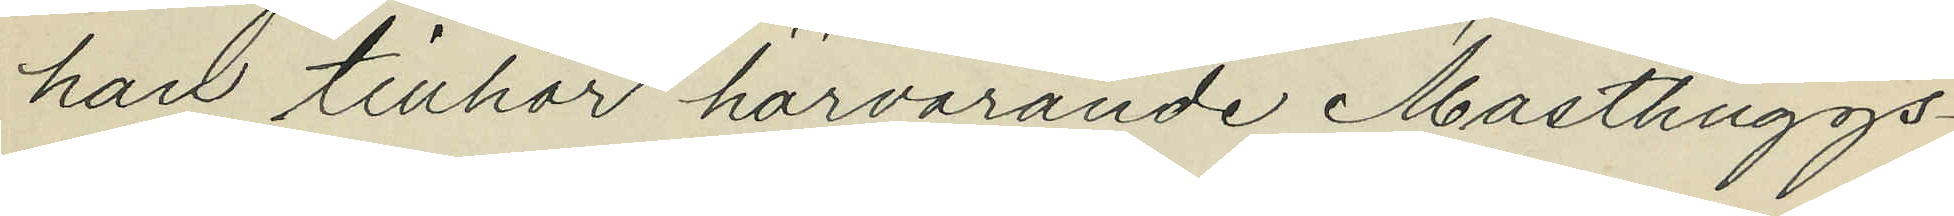han tillhör härvarande Masthuggs¬
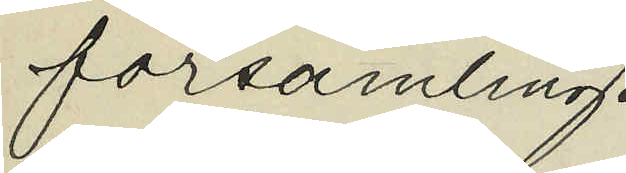församling.
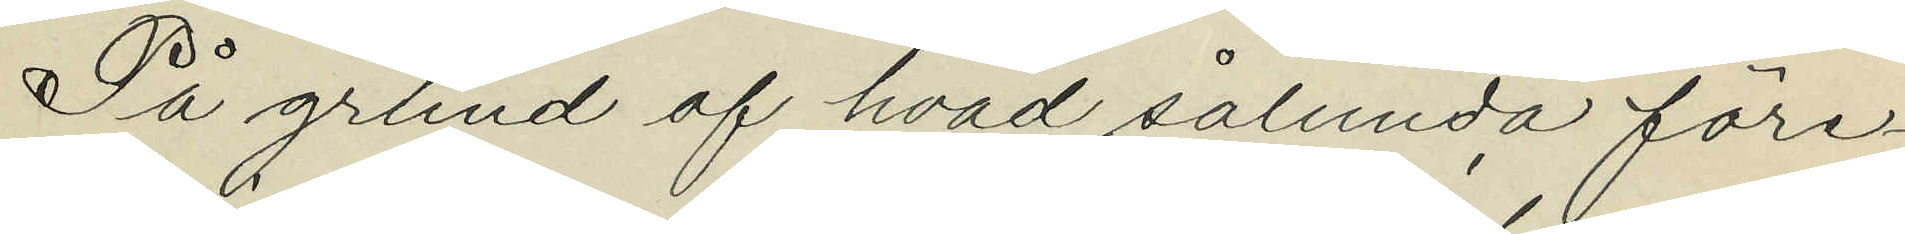På grund af hvad sålunda före¬
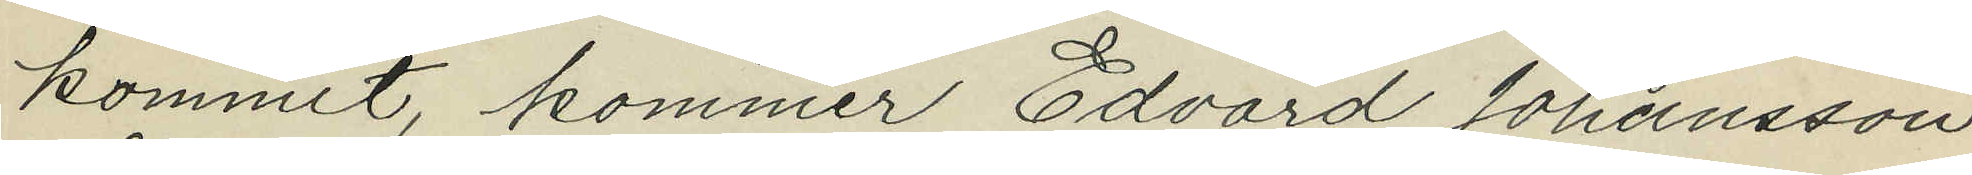kommit, kommer Edvard Johansson
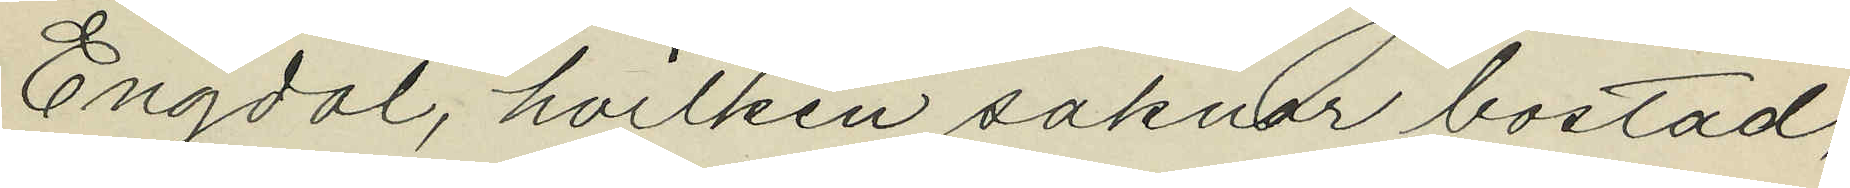Engdal, hvilken saknar bostad,
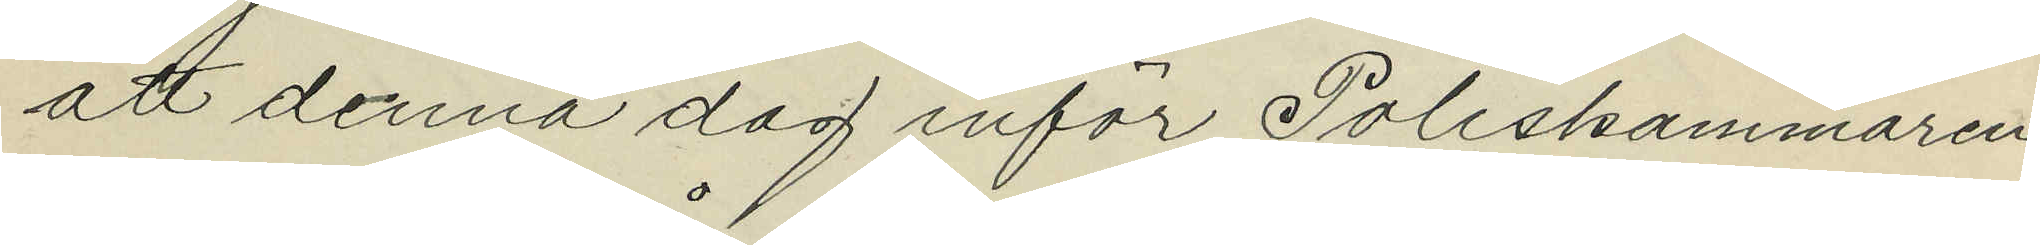att denna dag inför Poliskammaren
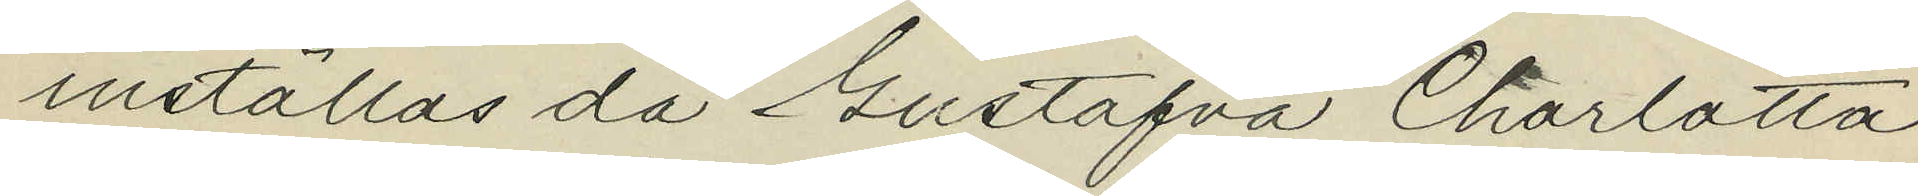inställas då Gustafva Charlotta
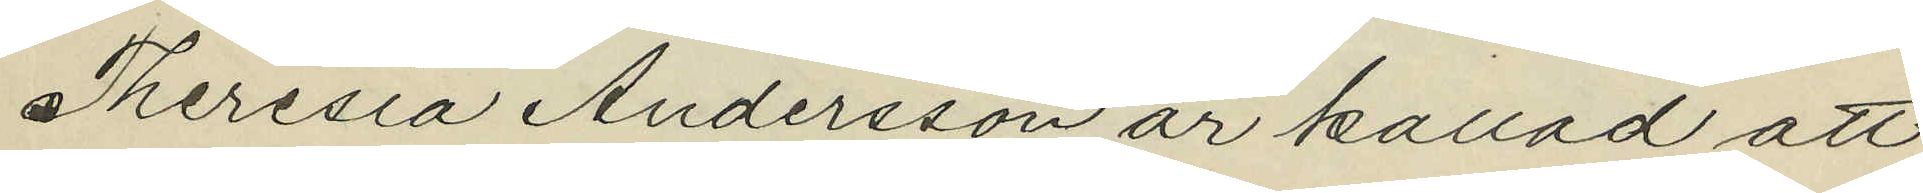Theresia Andersson är kallad att
